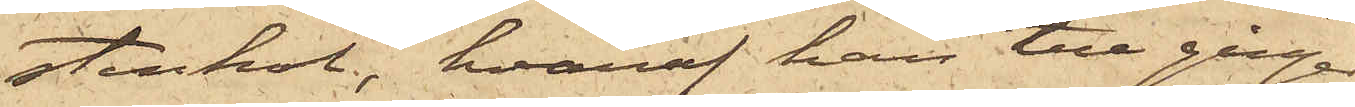stenkol, hvaraf han tre gånger
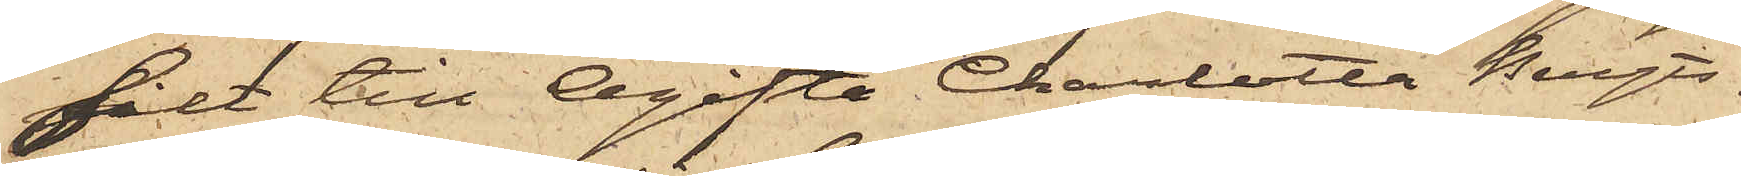sålt till Ogifta Charlotta Bengts¬
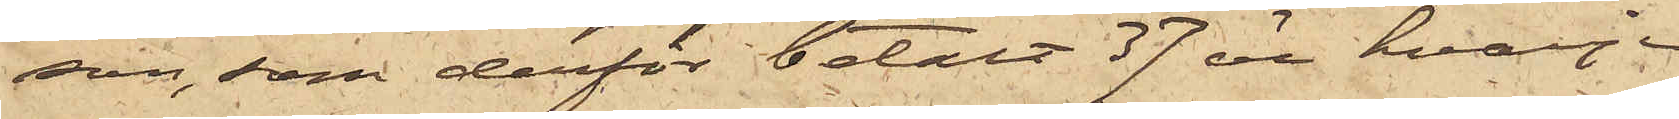son, som derför betalt 37 öre hvarje
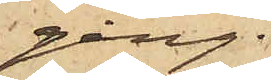gång.
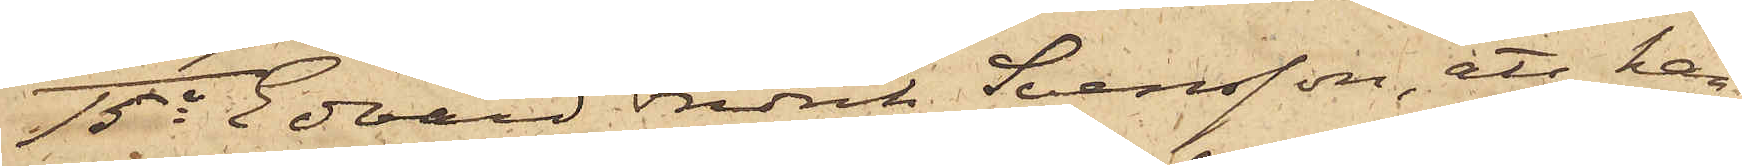15o Edvard Fredrik Svensson, att han
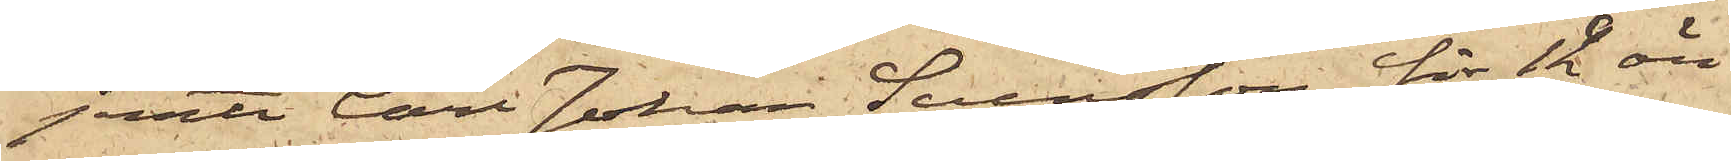jemte Carl Johan Svensson för 12 öre
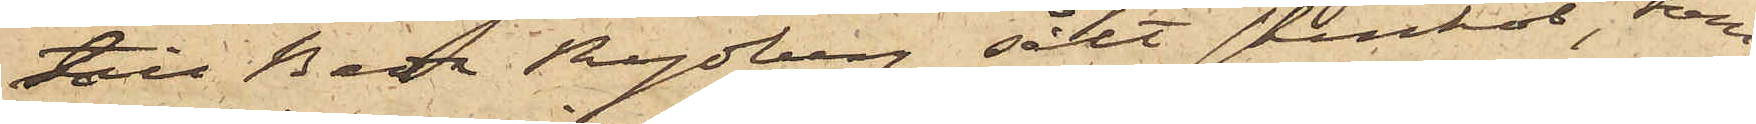till Beda Rydberg sålt stenkol, som
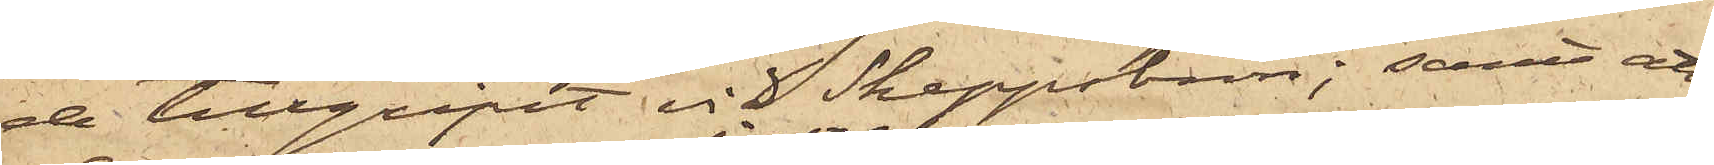de tillgripit vid Skeppsbron; samt att
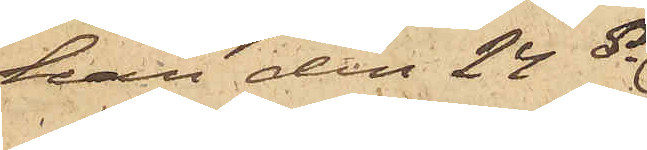han den 24 ds
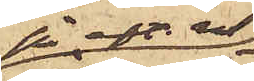på eft.m.
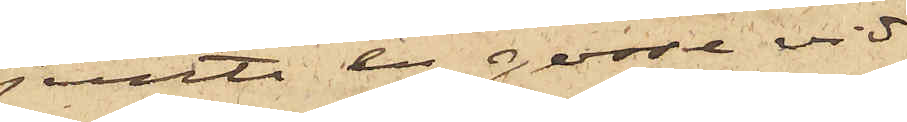jemte en gosse vid
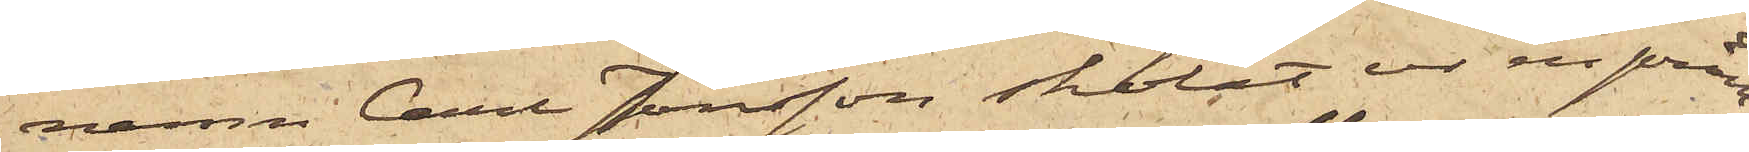namn Carl Jonsson skolat ur en pråm
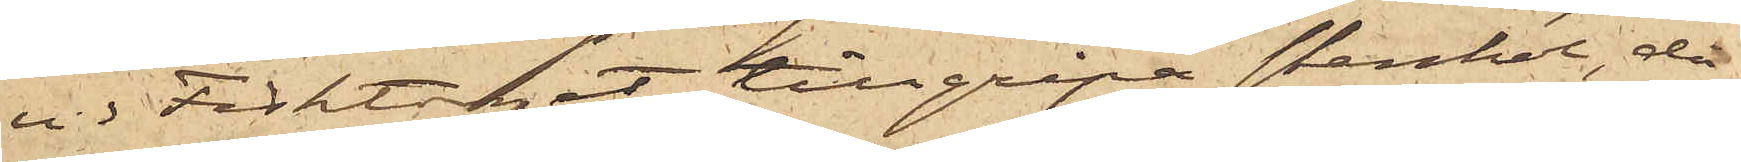vid Fisktorget tillgripa stenkol, då
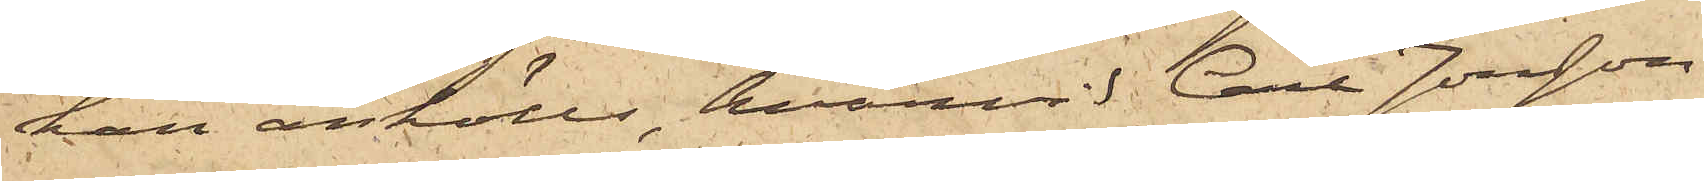han anhölls, hvarvid Carl Jonsson
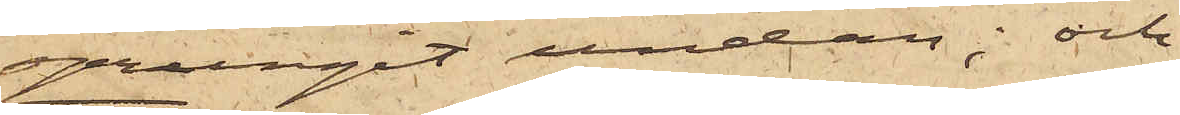sprungit undan; och
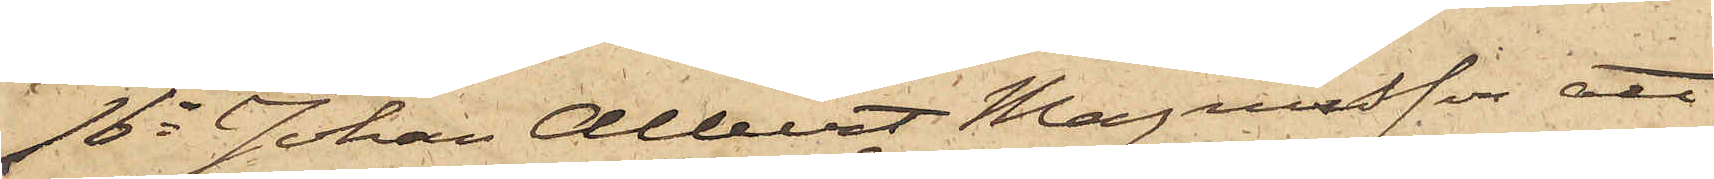16o Johan Albert Magnusson, att
